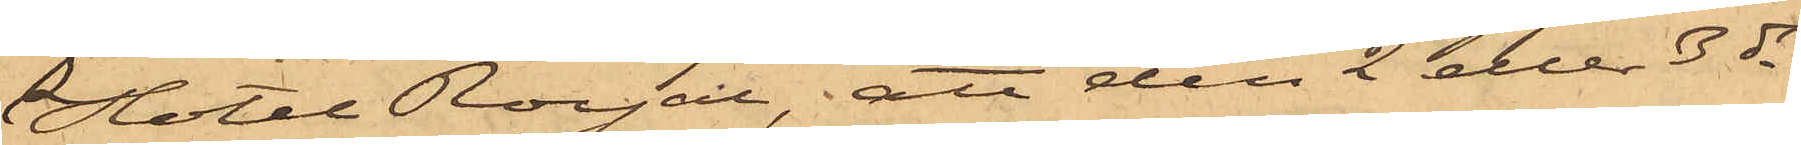Hotel Royal, att den 2 eller 3 ds
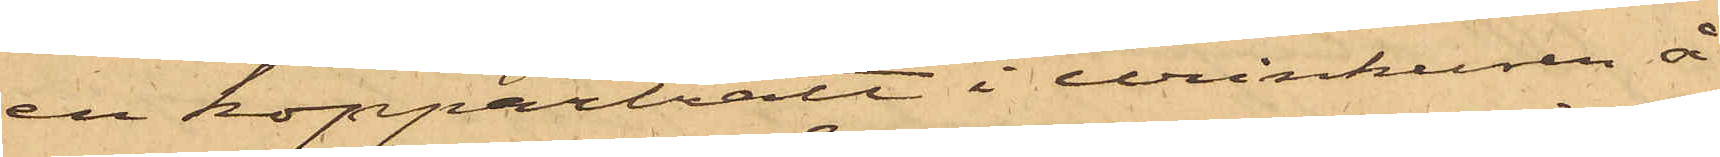en koppartratt i urinkuren å
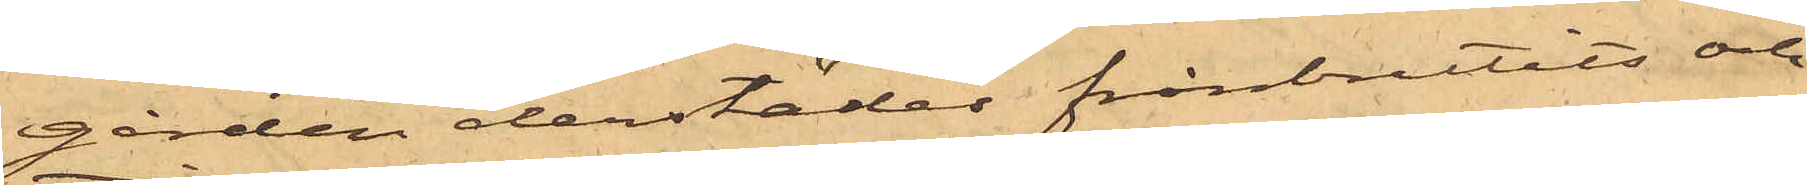gården derstädes frånbrutits och
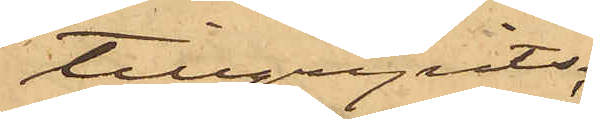tillgripits:
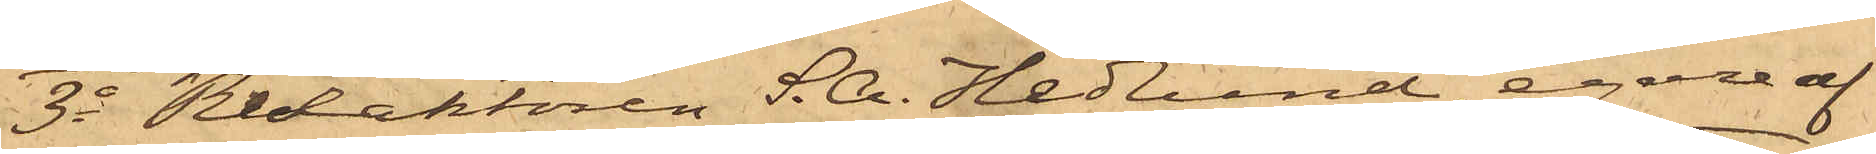3o Redaktören S. A. Hedlund, egare af
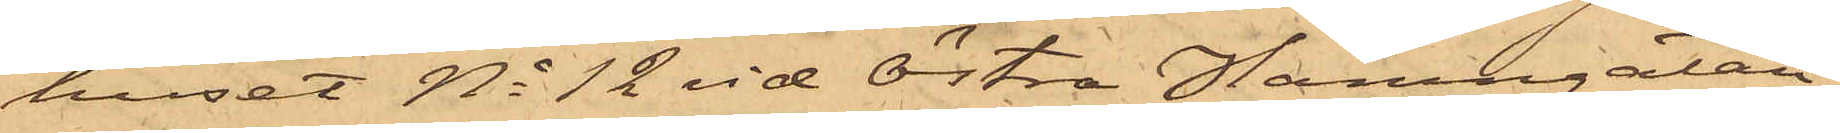huset No 12 vid Östra Hamngatan,
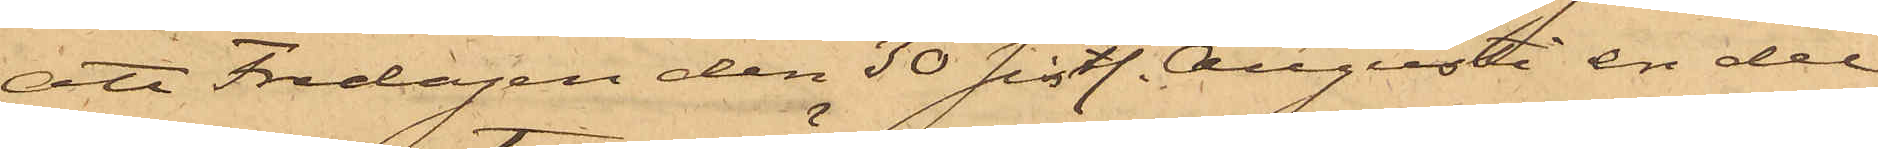att Fredagen den 30 sistl. Augusti en del
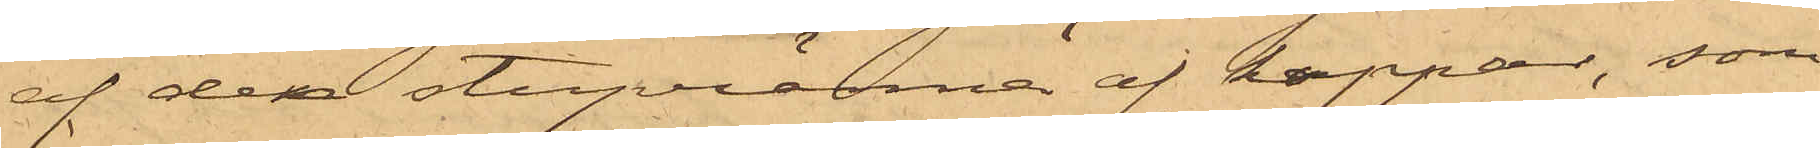af den stupränna af koppar, som
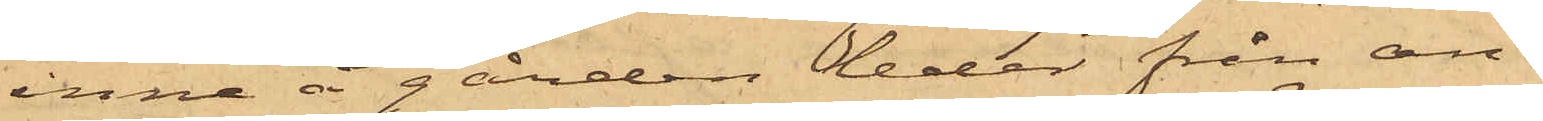inne å gården leder från an¬
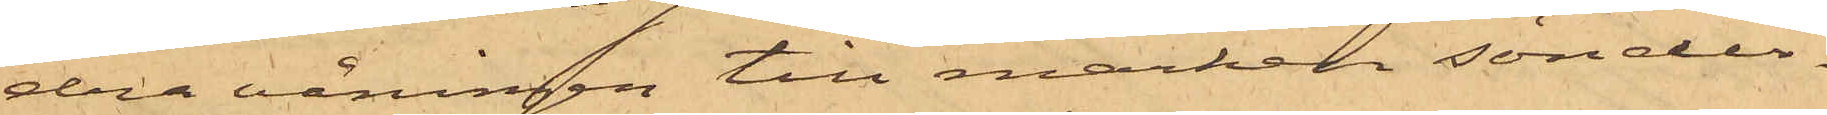dra våningen till marken sönder¬
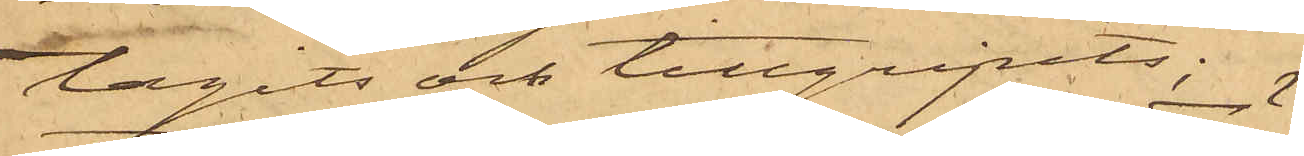tagits och tillgripits:
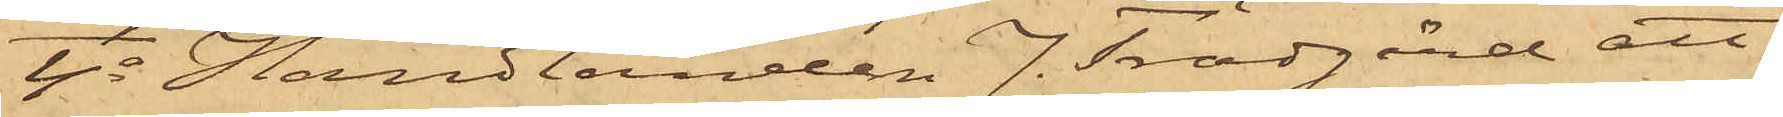4o Handlanden J. Trädgård att
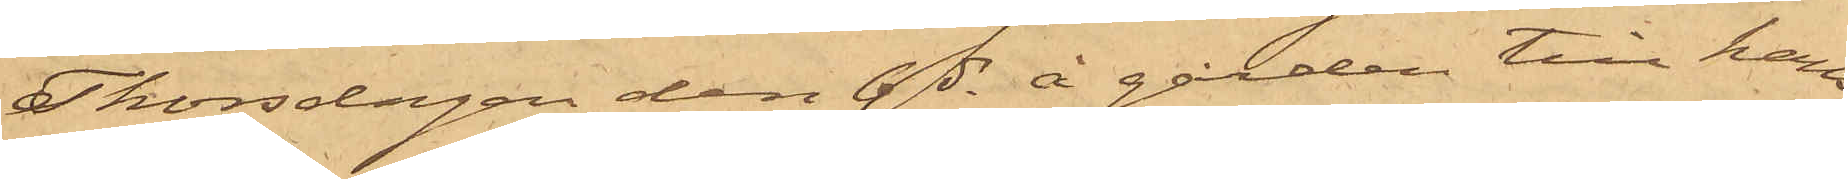Thorsdagen den 4 ds å gården till hans
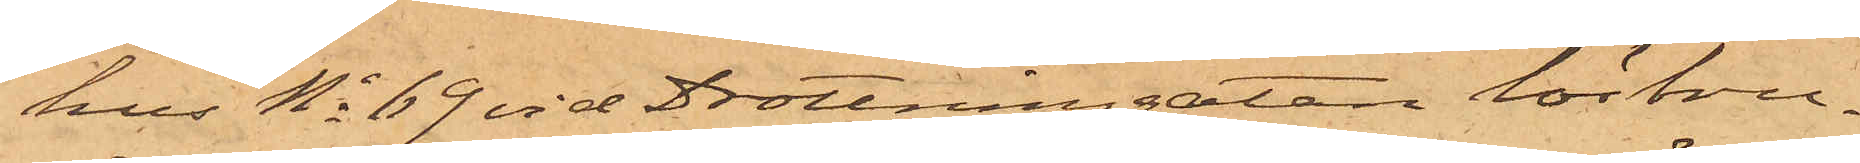hus No 69 vid Drottninggatan lösbru¬
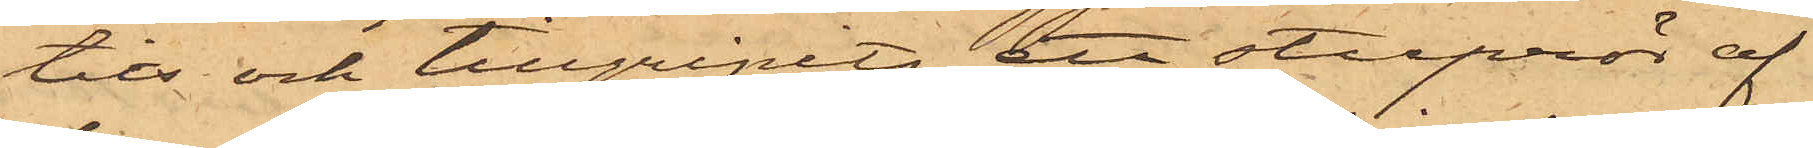tits och tillgripits ett stuprör af
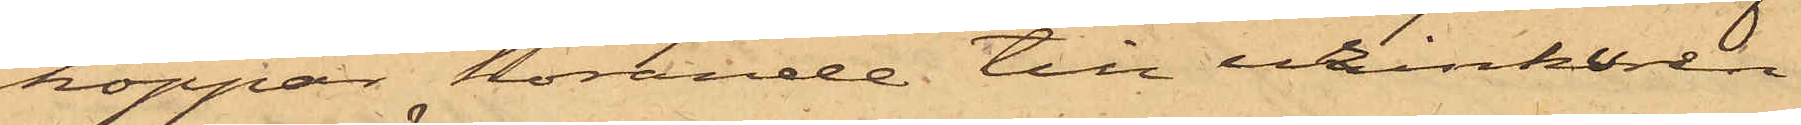koppar hörande till urinkuren
